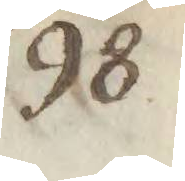98
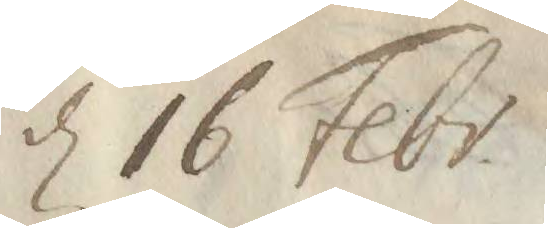d 16 Febr.
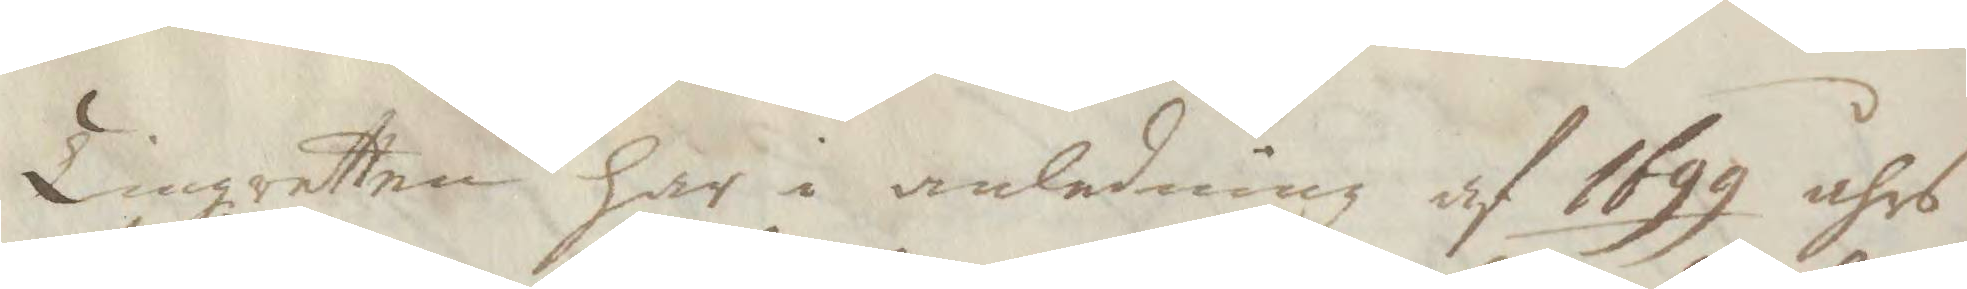Tingzretten har i anledning af 1699 åhrs
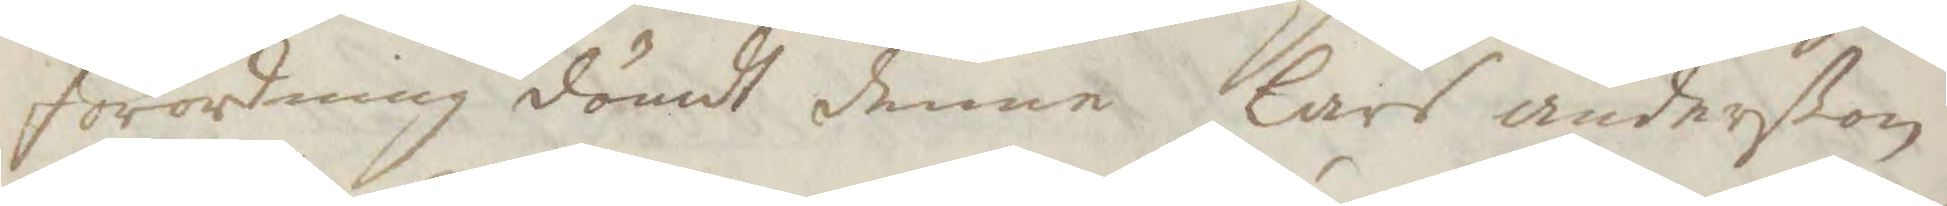förordning dömdt denne Lars anderVon
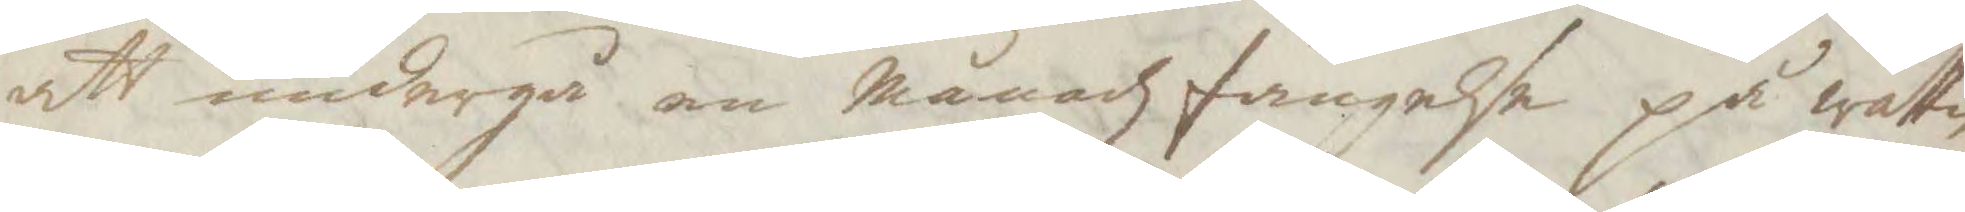att undergå en månadz fängelse på wattn
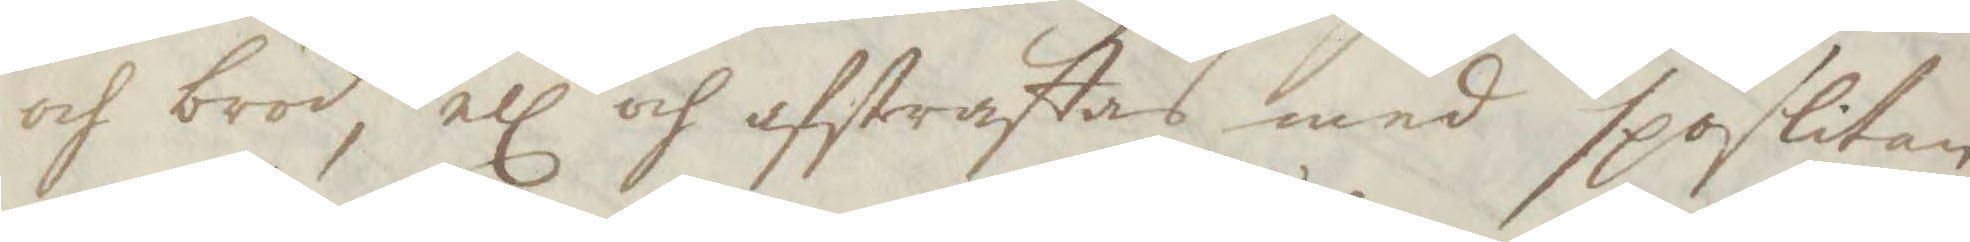och bröd, ell och afstraffas med spöslitan¬
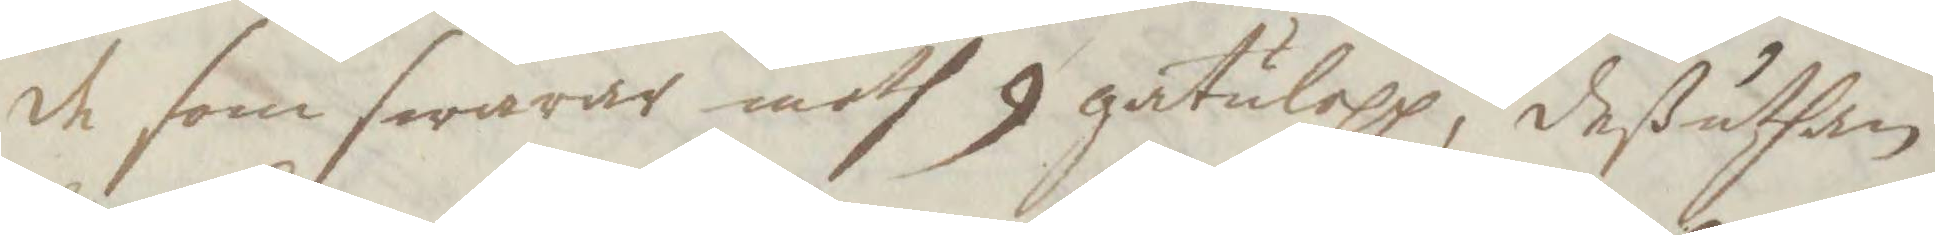de som swarar moth 9 gatulopp, deßuthan
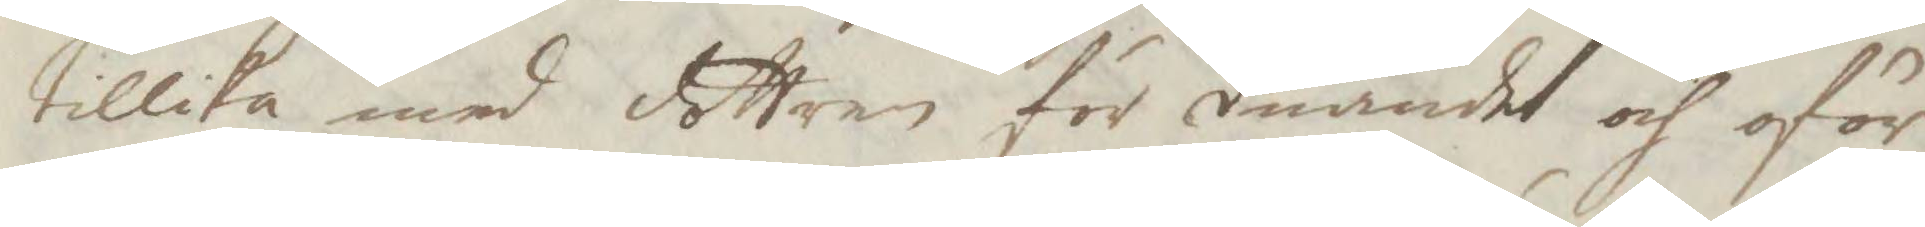tillika med dottren för duandet och oför¬
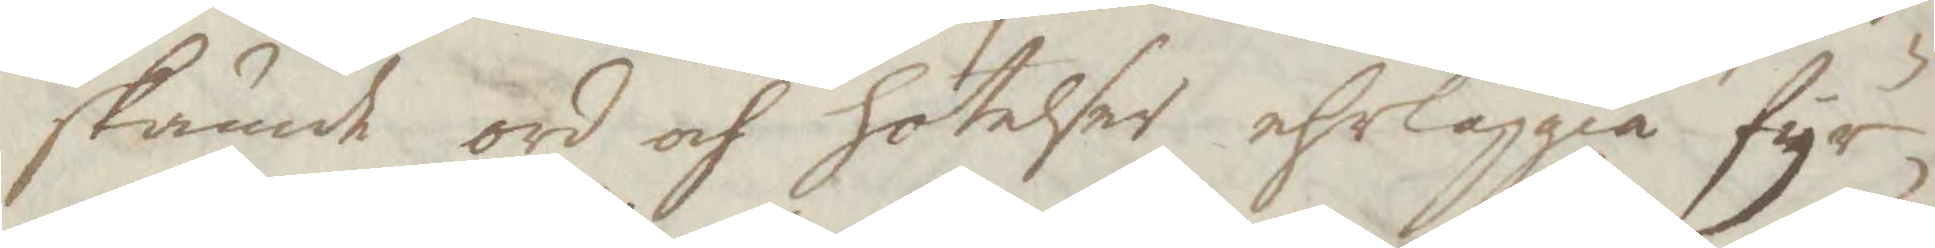skämdt ord och hotelser ehrläggia fyr¬
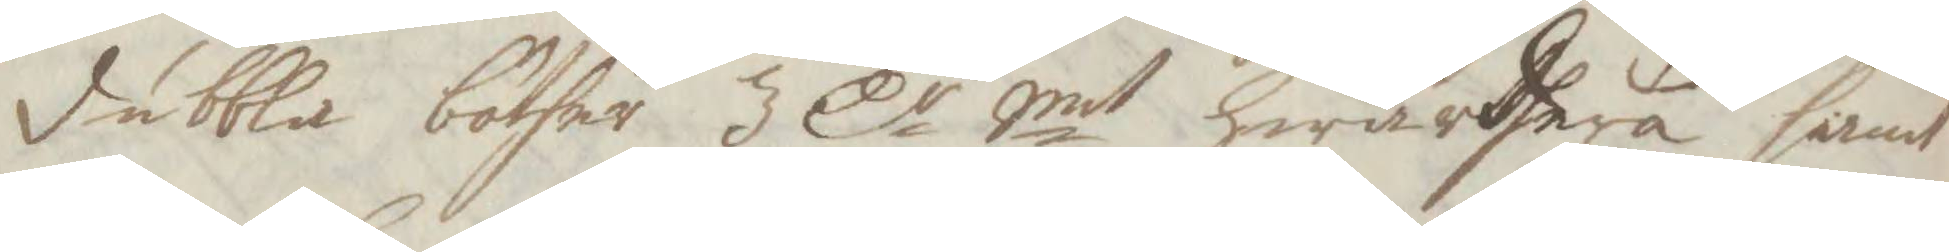dubbla böther 3 Cr Smt hwardhera samt
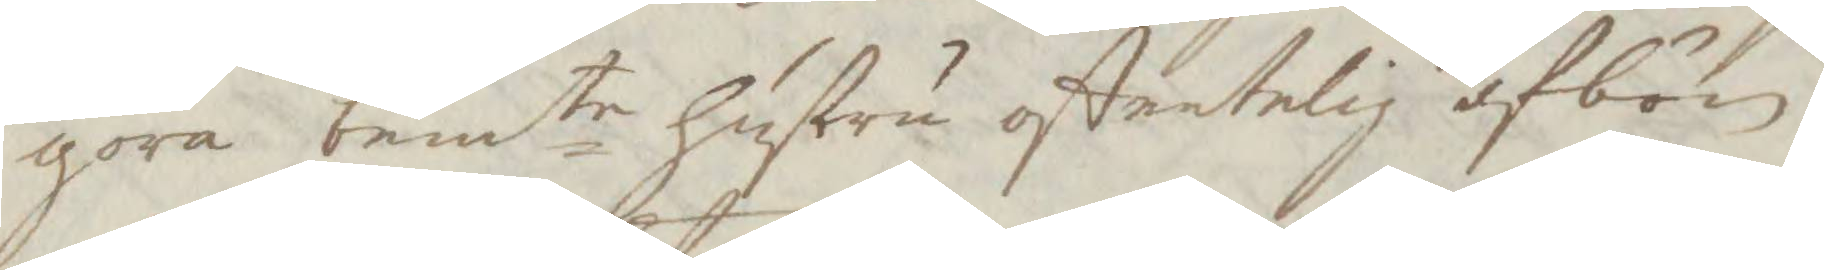göra bemte hustru offentelig afbön,
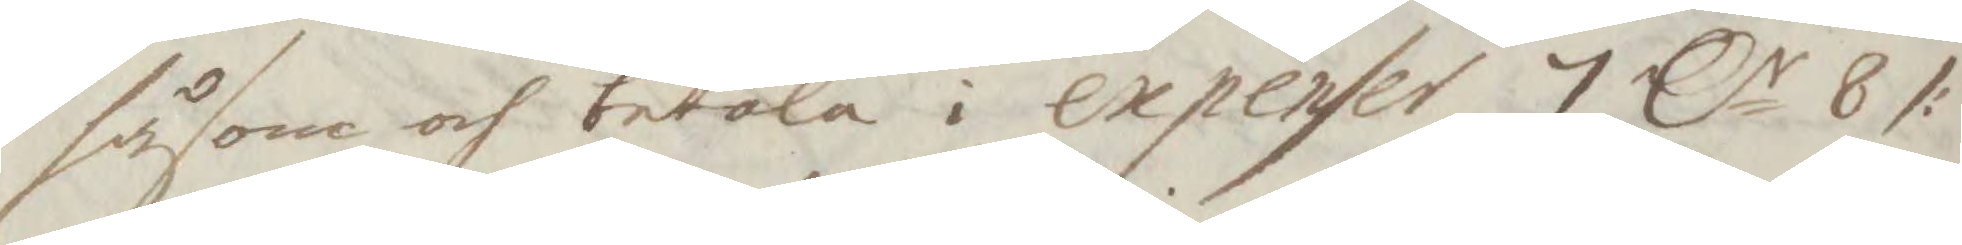såsom och betala i expender 7 Cr 8 /:
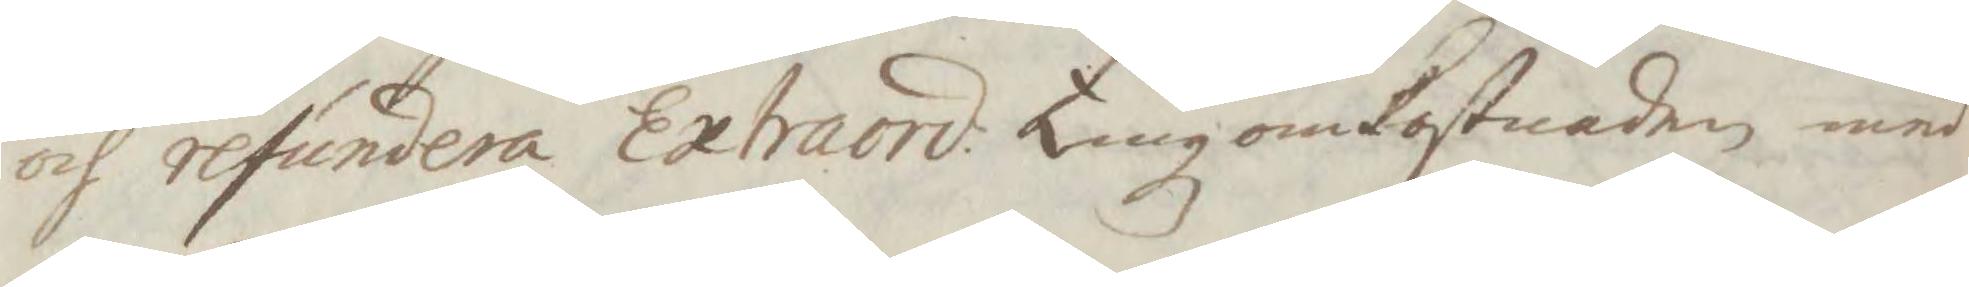och refundera Extraord; Tingzomkostnaden med
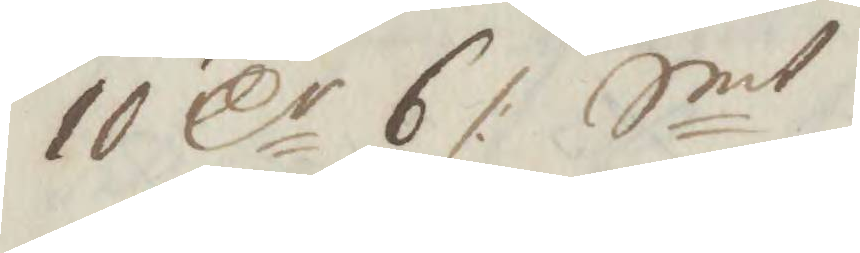10 Cr 6/: Smt.
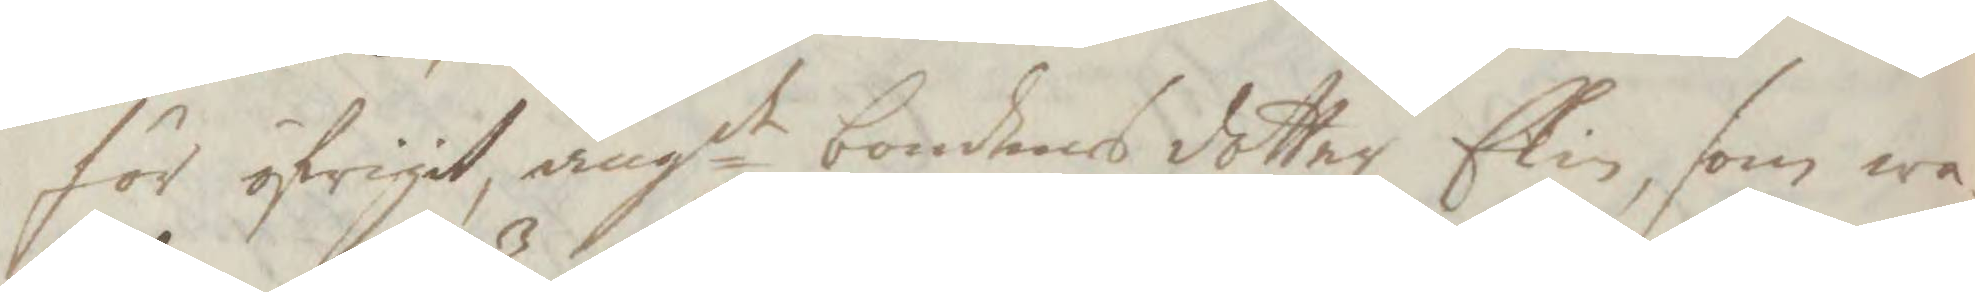för öfrigit angde bondens dotter Elin, som wa¬
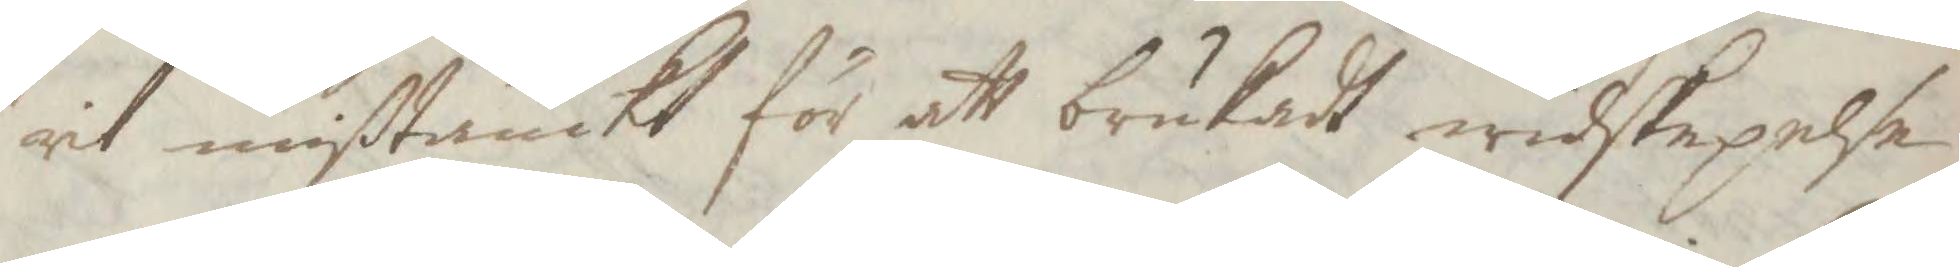rit mißtänckt för att brukat widskepelse
